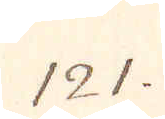121.
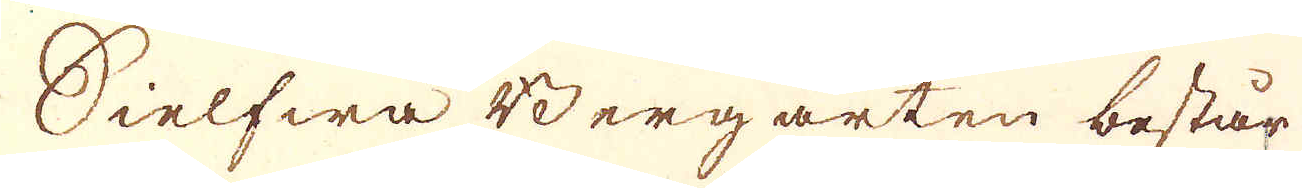Sielfwa Berg arten består
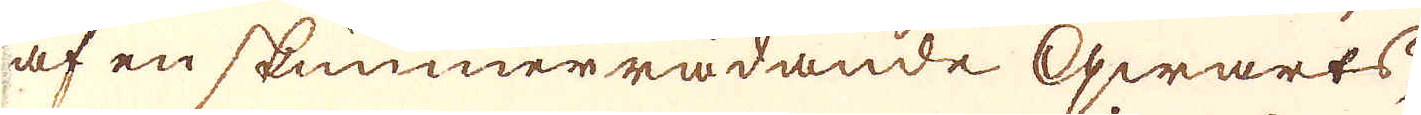af en skimmerrådande qwarts,
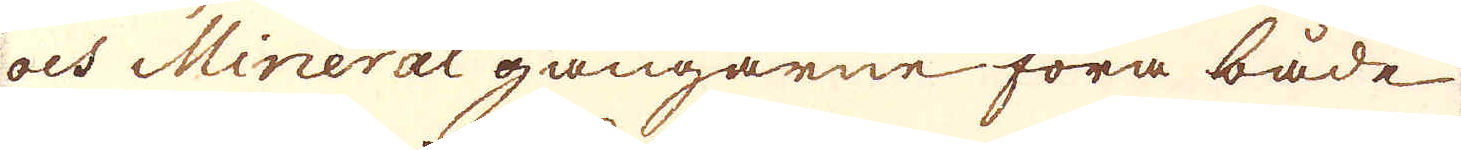och Mineral gångarne föra både
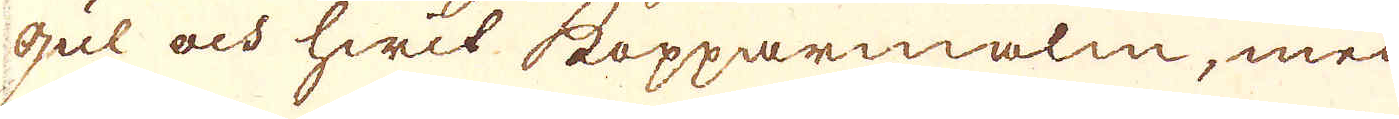gul och hwit kopparmalm, med
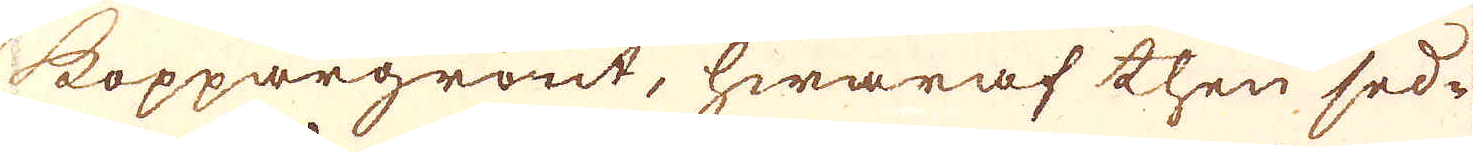koppargrönt, hwaraf then sed-
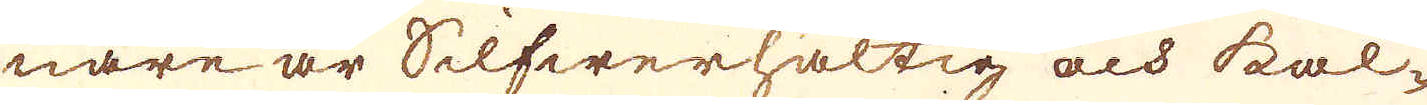nare är Silfwerhaltig och kal-
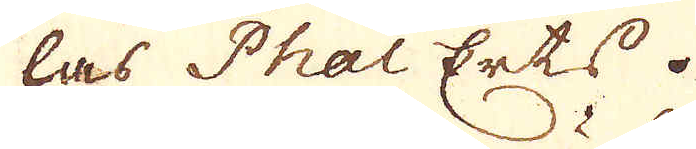las Phal Erts.
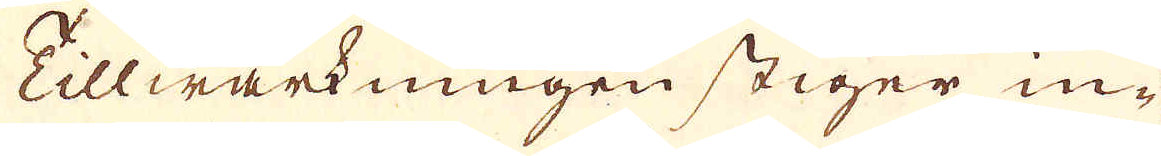Tillwärkningen stiger in-
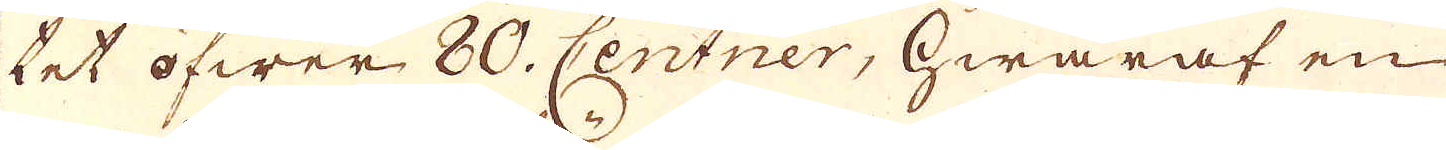tet öfwer 80. Centner, hwaraf en
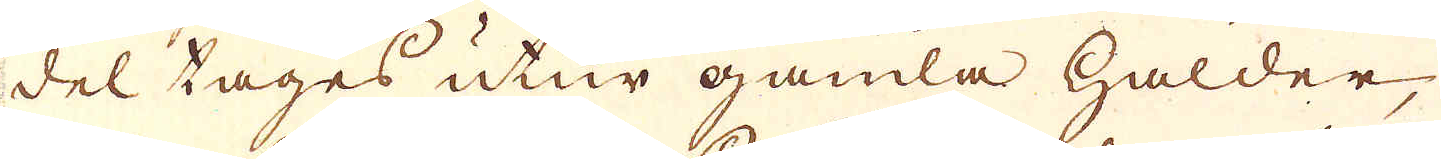del tages utur gamla halder,
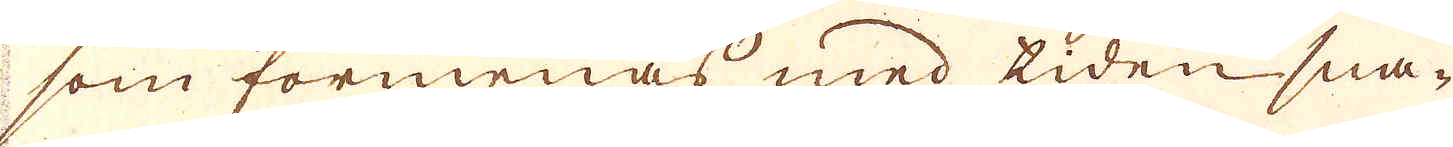som förmenas med tiden sna-
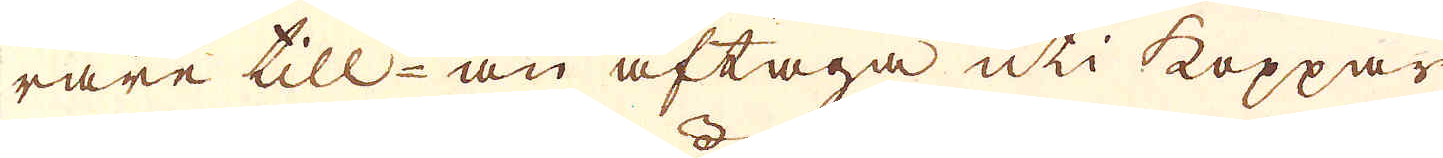rare till- än aftaga uti koppar
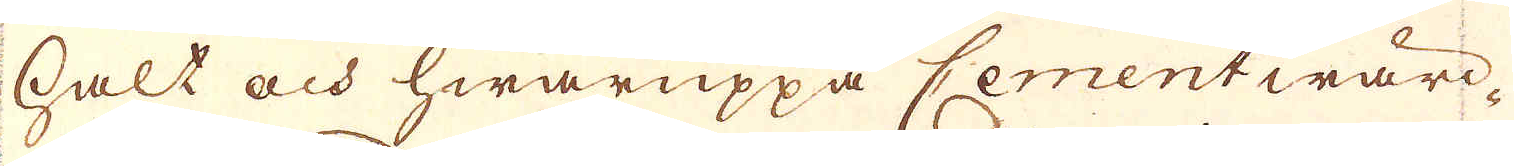halt och hwaruppå Cement wärc-
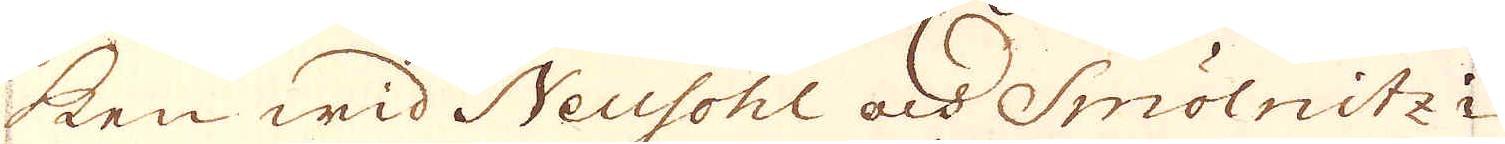ken wid Neusohl och Smölnitz i
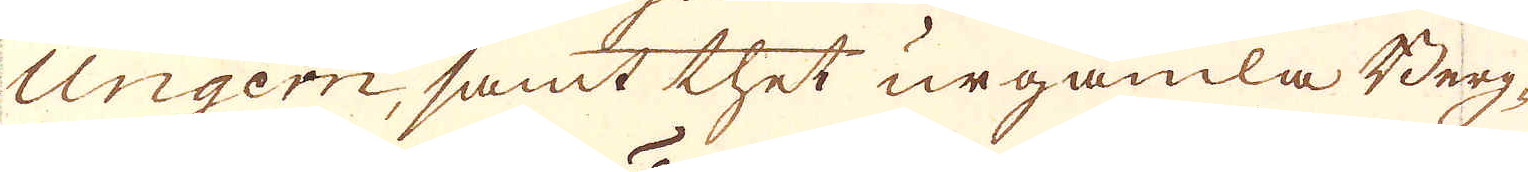Ungern, samt thet urgamla Berg-
